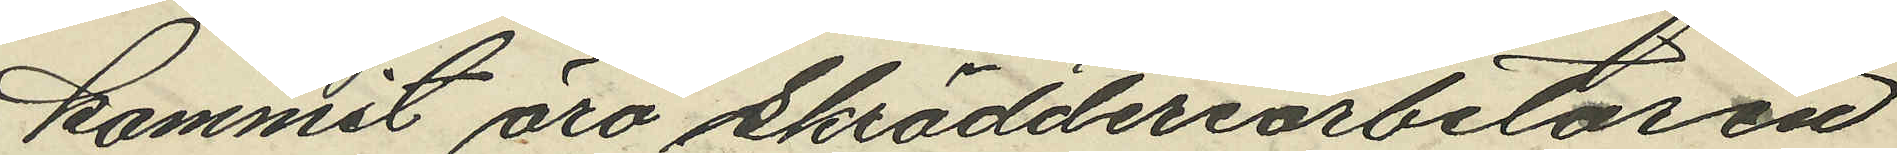kommit äro Skrädderiarbetaren
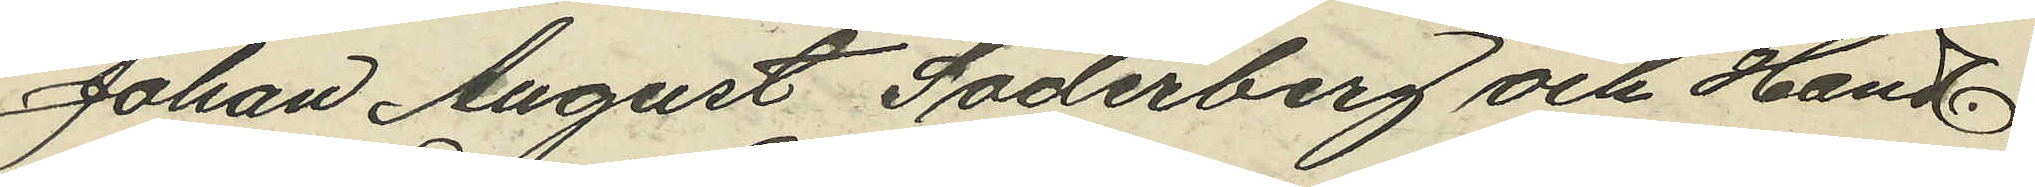Johan August Söderberg och Handl.
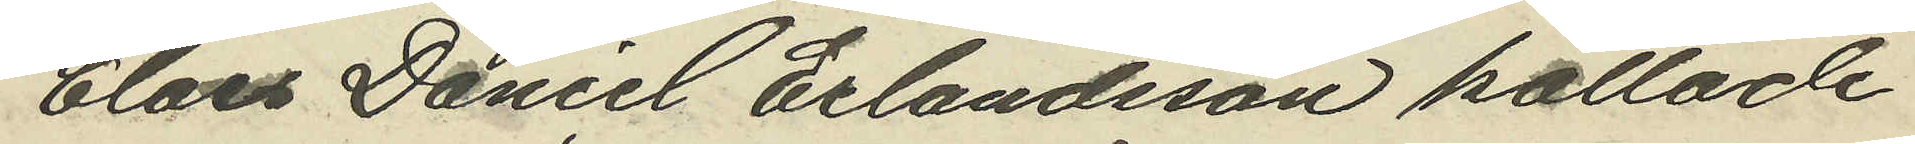Claes Daniel Erlandsson kallade
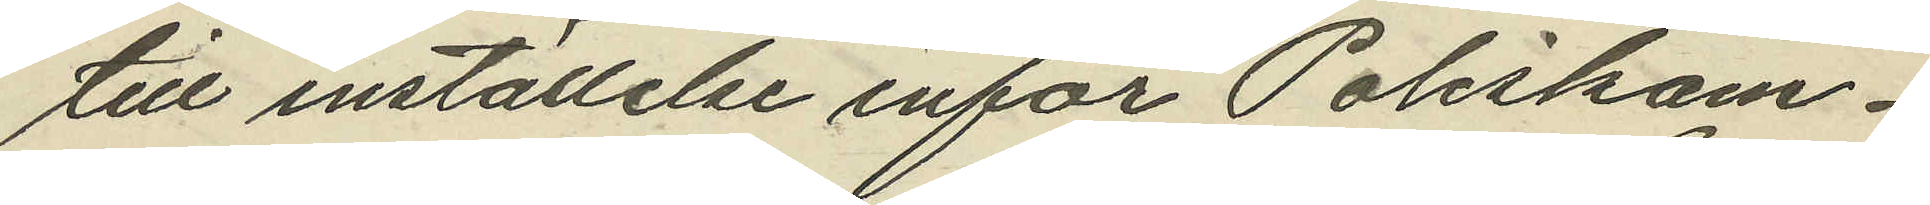till inställelse inför Poliskam¬
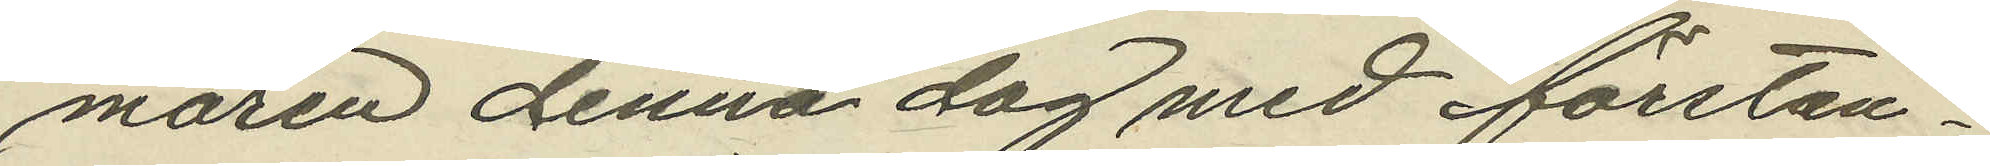maren denna dag med förstän¬
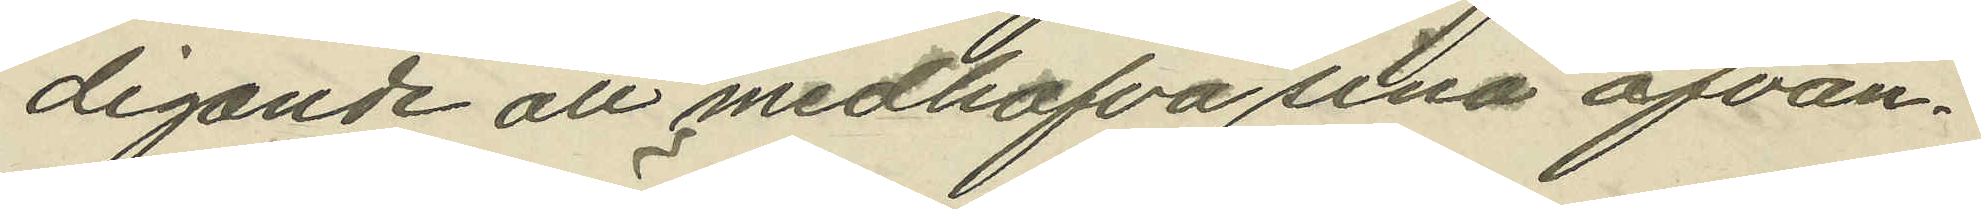digande att medhafva sina ofvan¬
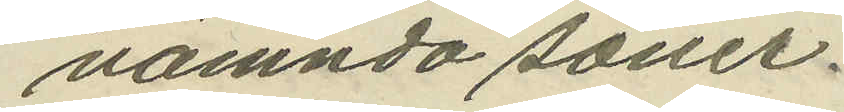nämnda söner.
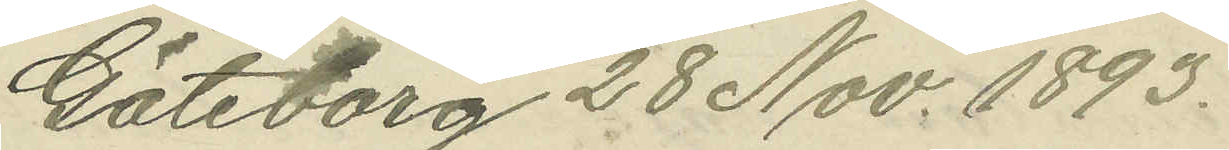Göteborg 28 Nov. 1893.
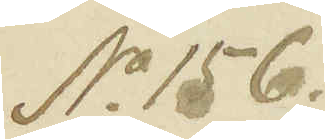No 156.
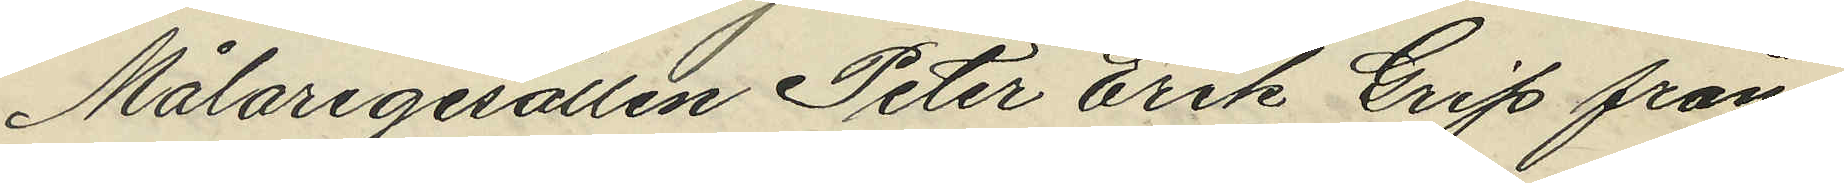Målaregesällen Peter Erik Grip från
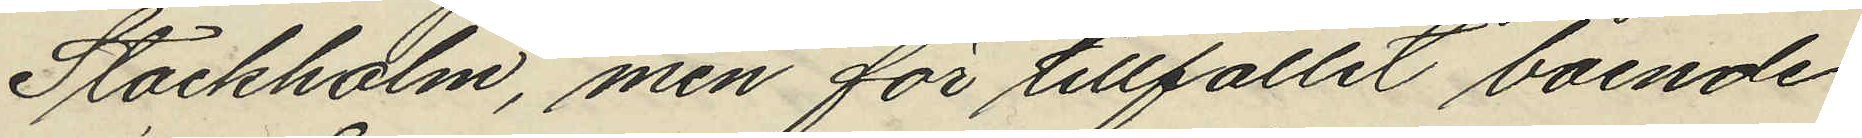Stockholm, men för tillfället boende
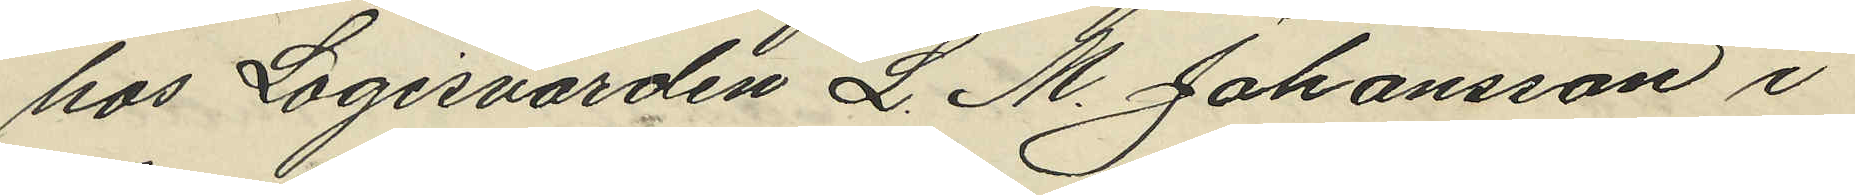hos Logisvärden L. M. Johansson i
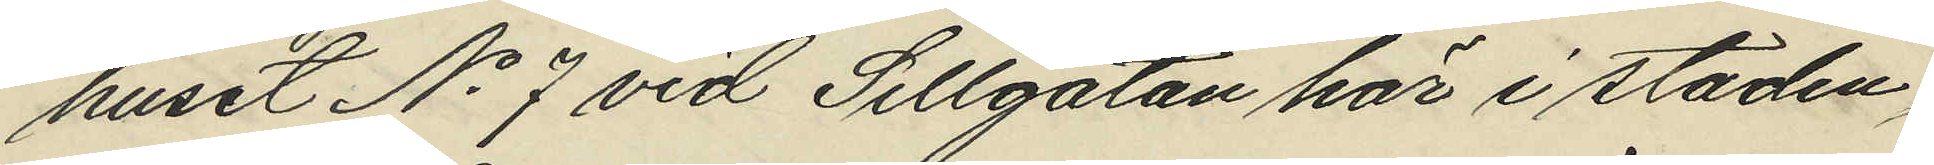huset No 7 vid Sillgatan här i staden,
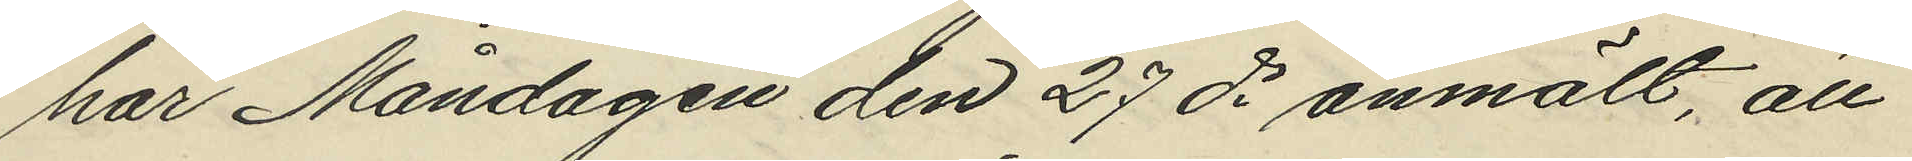har Måndagen den 27 ds anmält, att
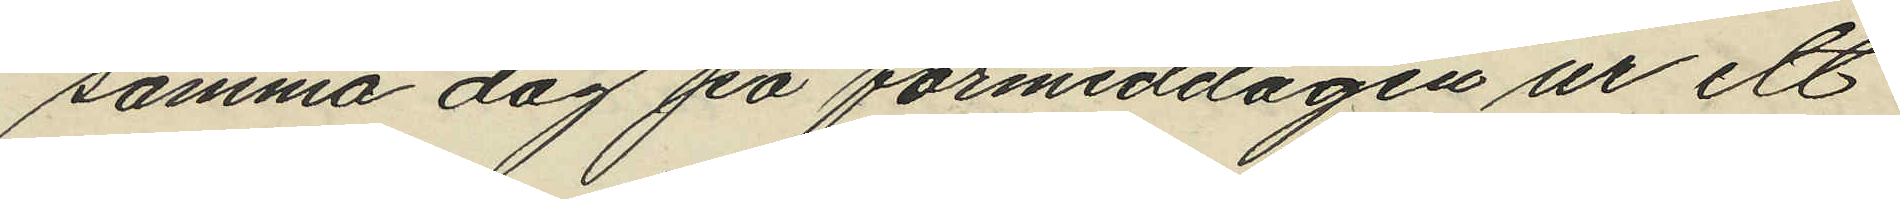samma dag på förmiddagen ur ett
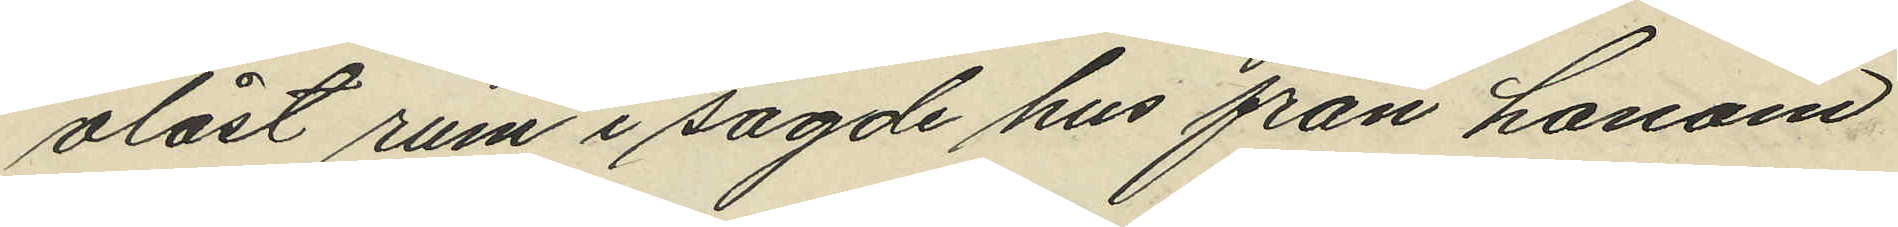olåst rum i sagde hus från honom
